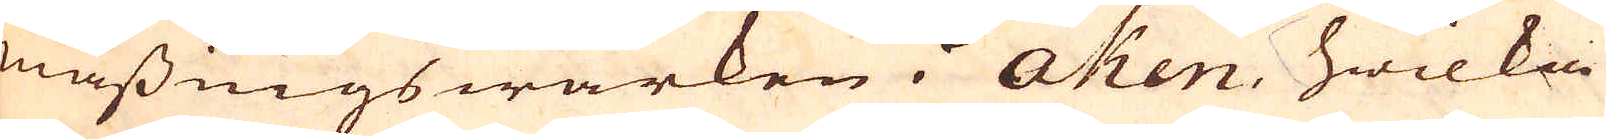mässingswärken i Aken, hwilka
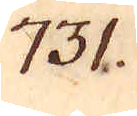731.
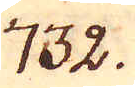732.
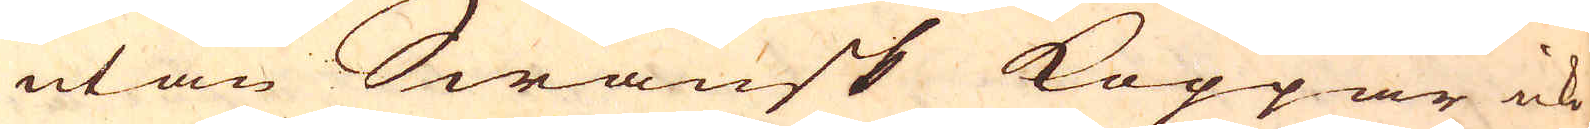utan Swänsk Koppar icke
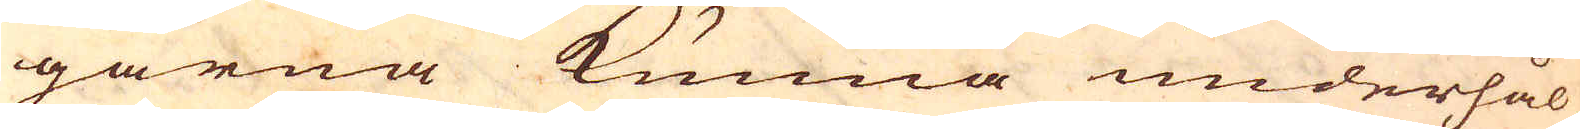gärna kunna underhål-
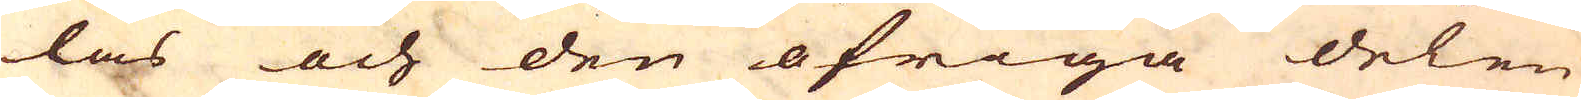las och den öfriga delen
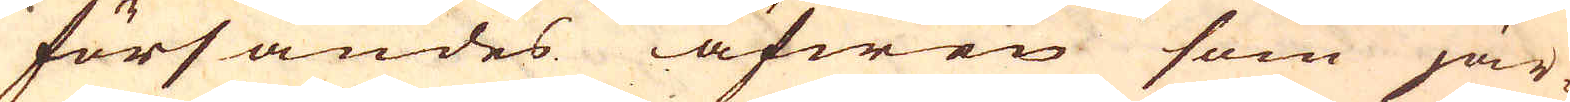försändes äfwen som jär-
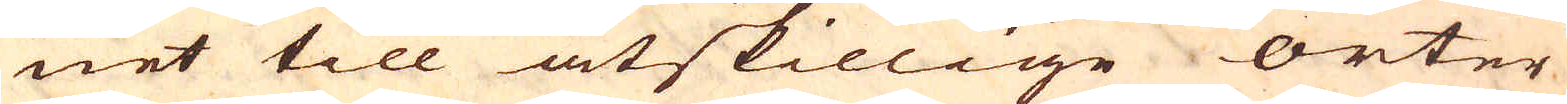net till åtskillige orter
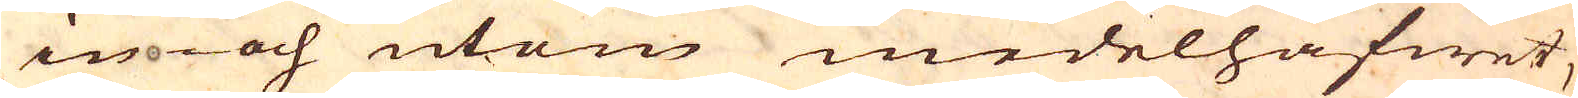in- och utom medelhafwet,
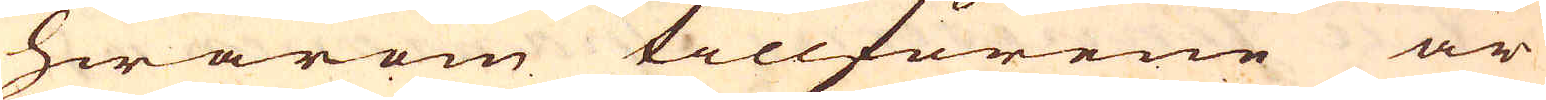hwarom tillförene är
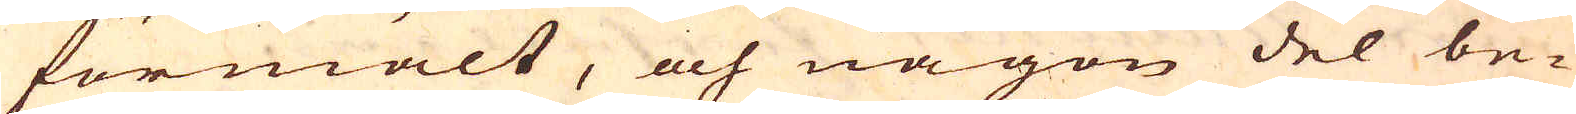förmält, och någon del be-
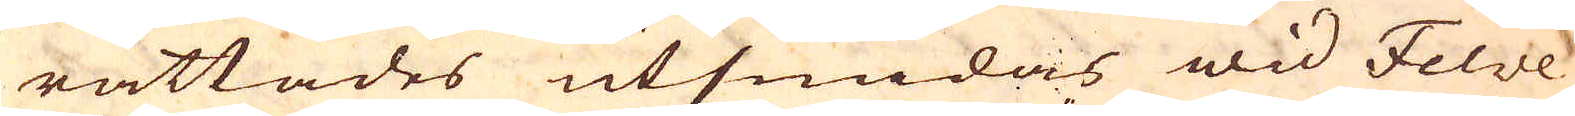rättades utsmidas wid Felve
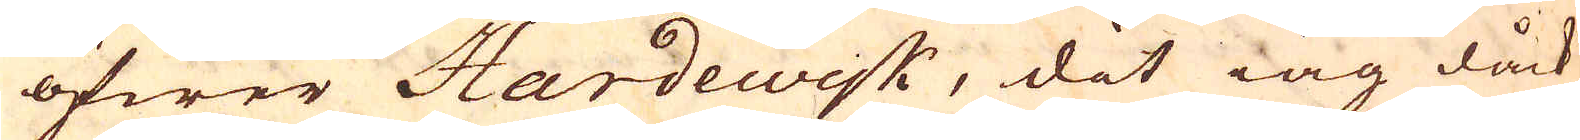öfwer Hardewisk, dit iag dåck
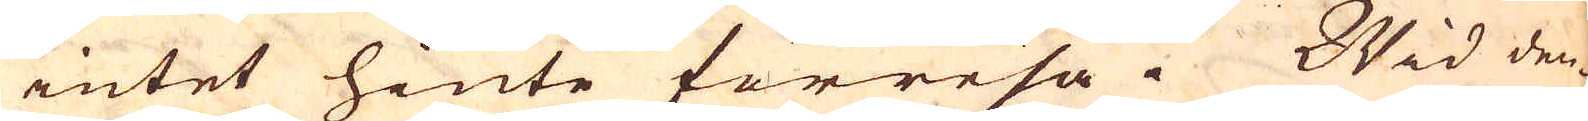intet hinte förresa. Wid den-
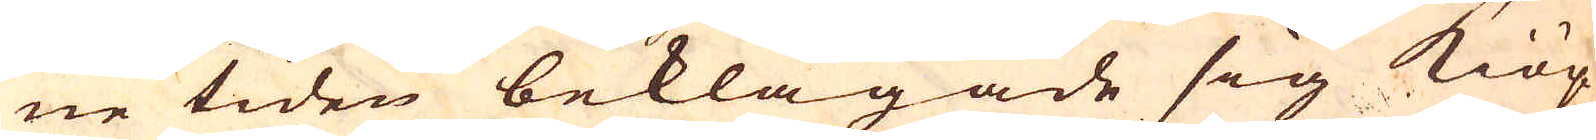ne tiden beklagade sig Kiöp-
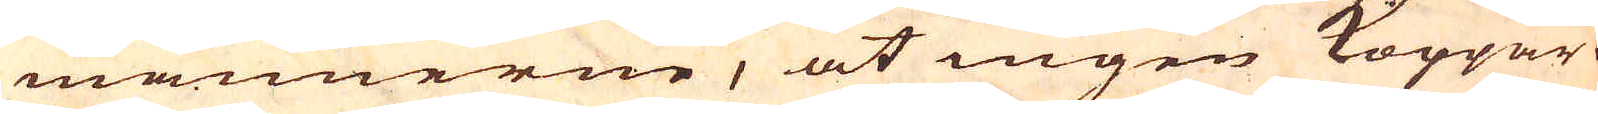männerne, at ingen Koppar
